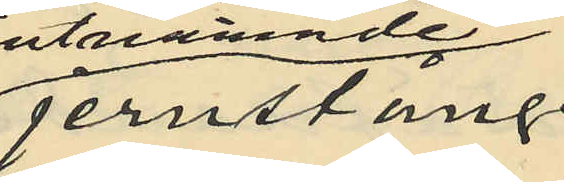jernstång
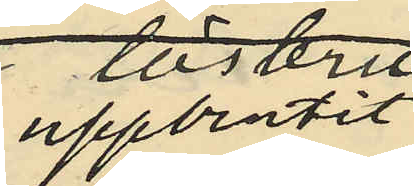uppbrutit
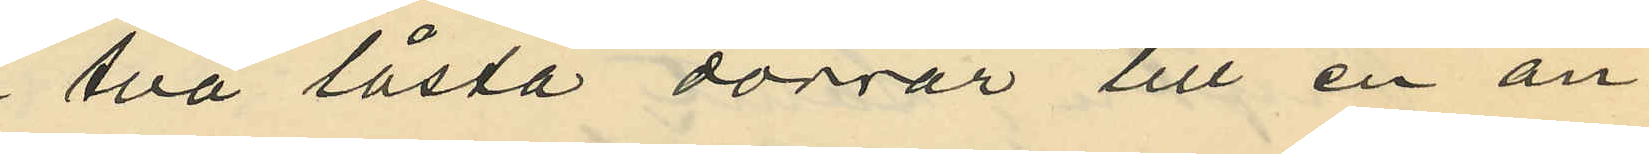två låsta dörrar till en an¬
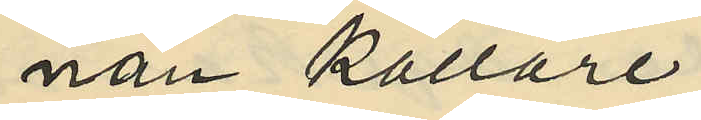nan källare;
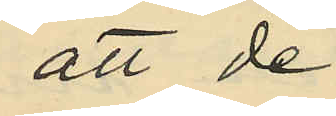att de
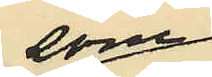som
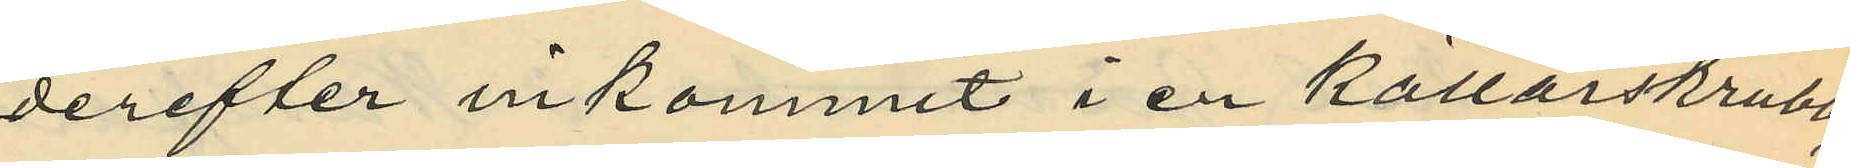derefter inkommit i en källarskrubb
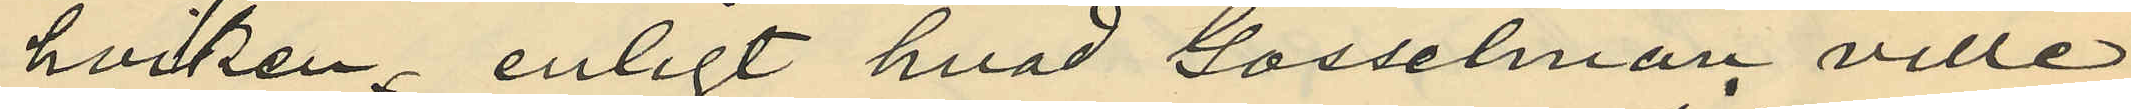hviken enligt hvad Gosselman ville
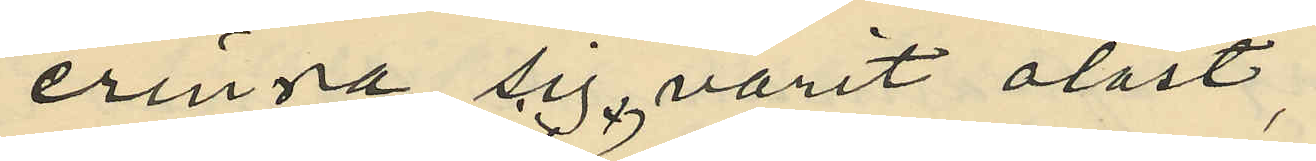erinra sig varit olåst,
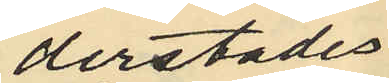derstädes
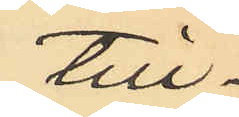till¬
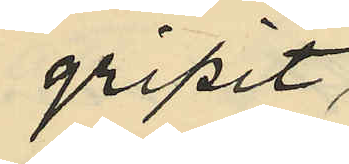gripit,
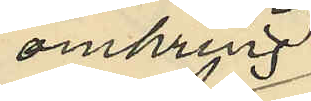omkring
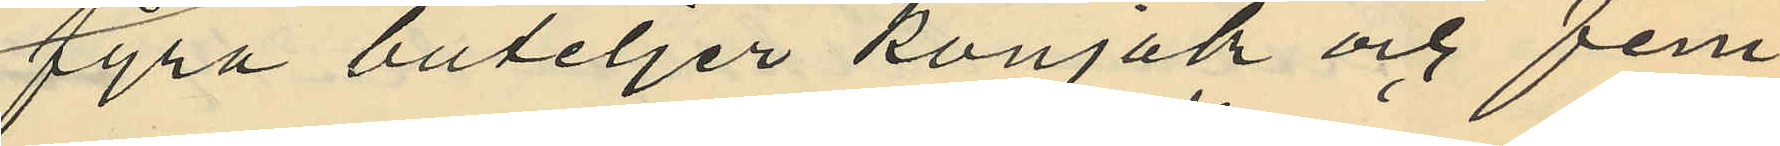fyra buteljer konjak och fem
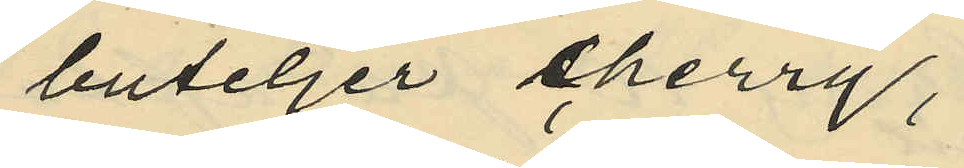buteljer cherry,
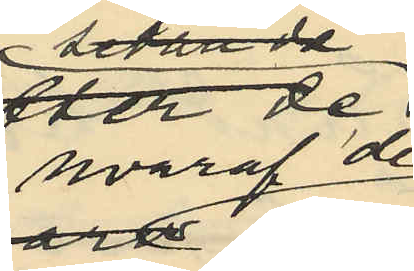hvaraf de
